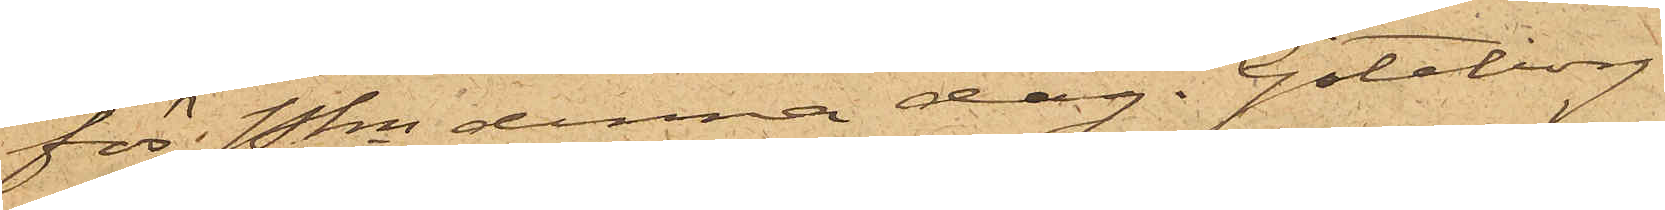för Pkn denna dag. Göteborg
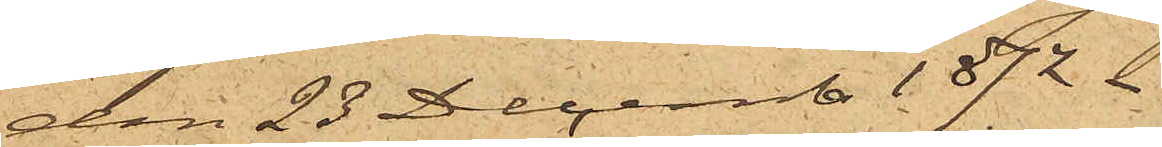den 23 Decemb. 1872.
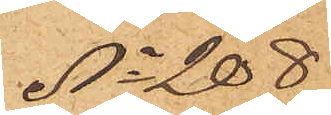No 208
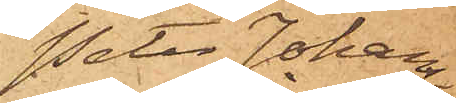Peter Johans¬
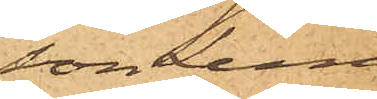son Lind.
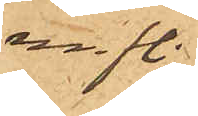m. fl.
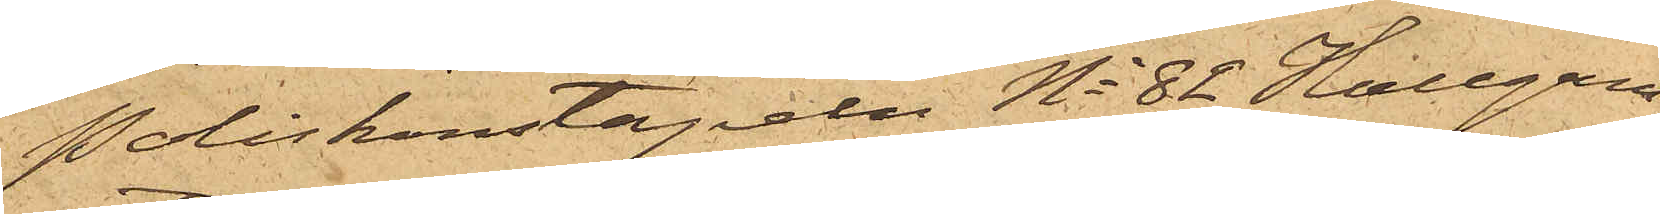Poliskonstapeln No 82 Hallgren
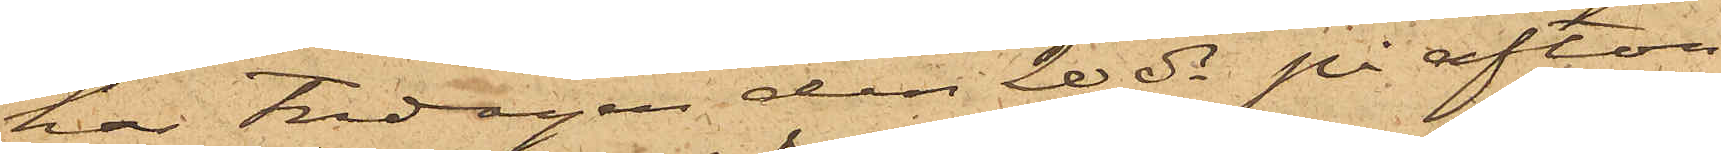har Fredagen den 20 ds på afton
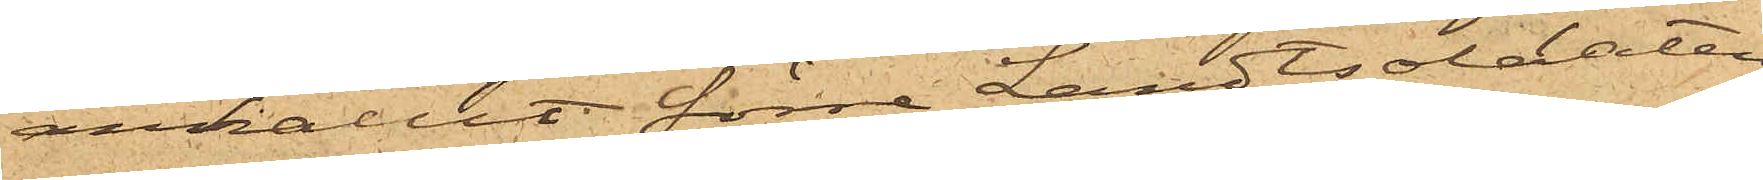anhållit förre Landtsoldaten
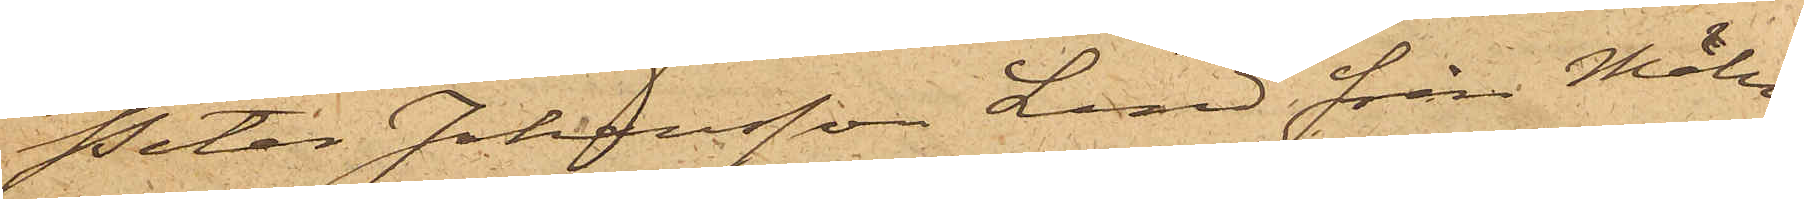Peter Johansson Lind från Möln¬
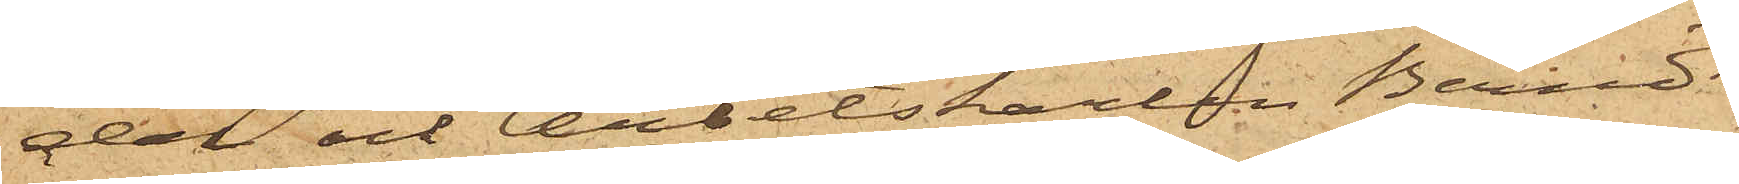dal och Arbetskarlen Berndt
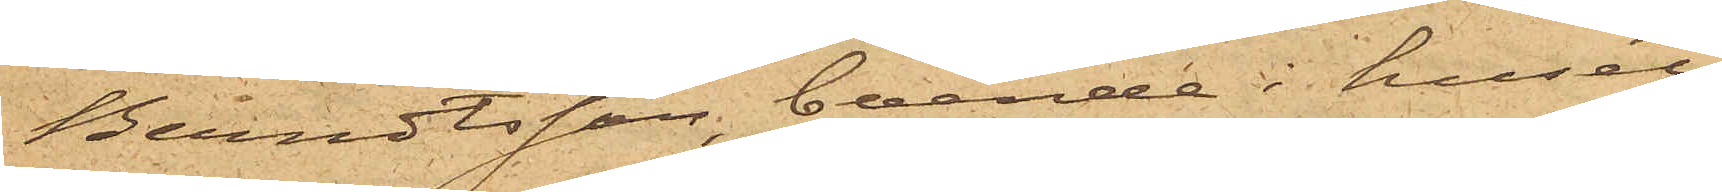Berndtsson, boende i huset
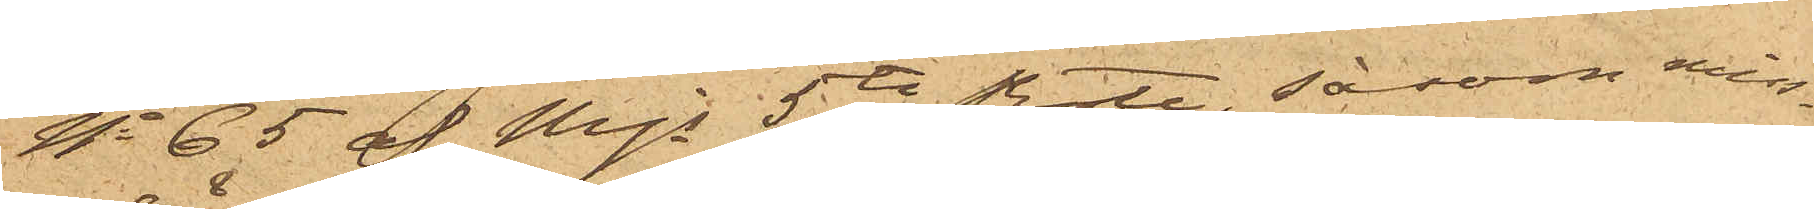No 65 af Mjs 5te Rote, såsom miss¬
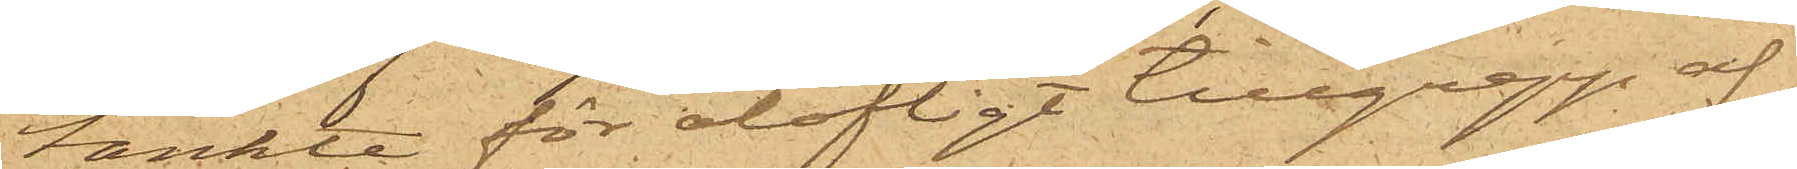tänkte för olofligt tillgrepp af
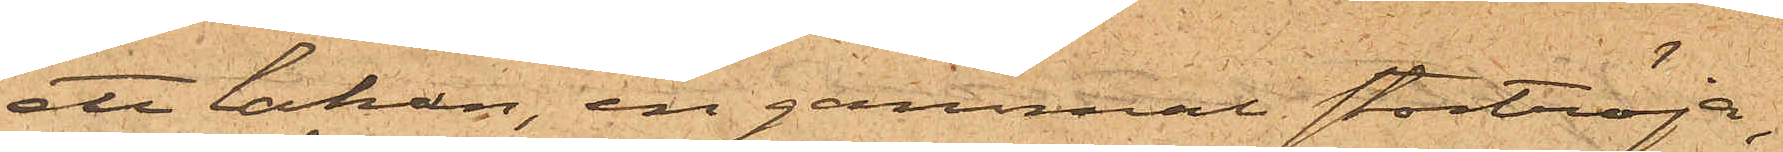ett lakan, en gammal stortröja,
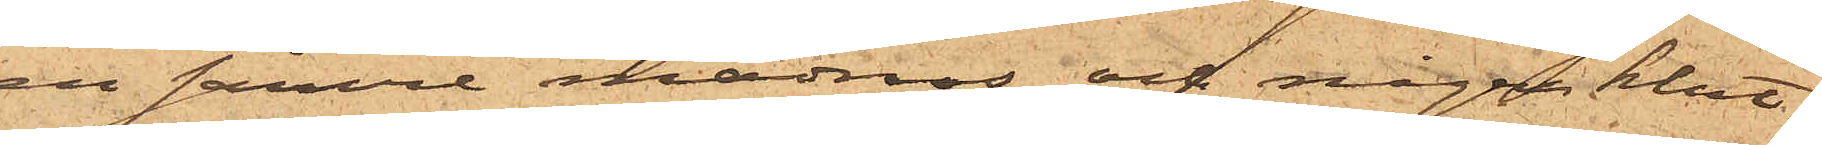en sämre madrass och några klut¬
